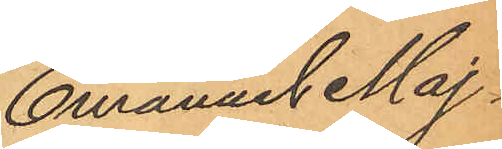Emanuel Maj¬
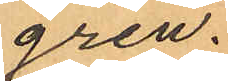gren.
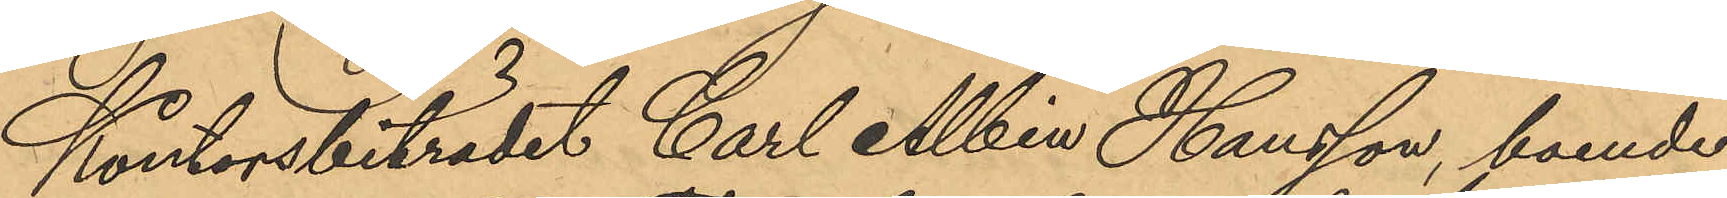Kontorsbiträdet Carl Albin Hansson, boende
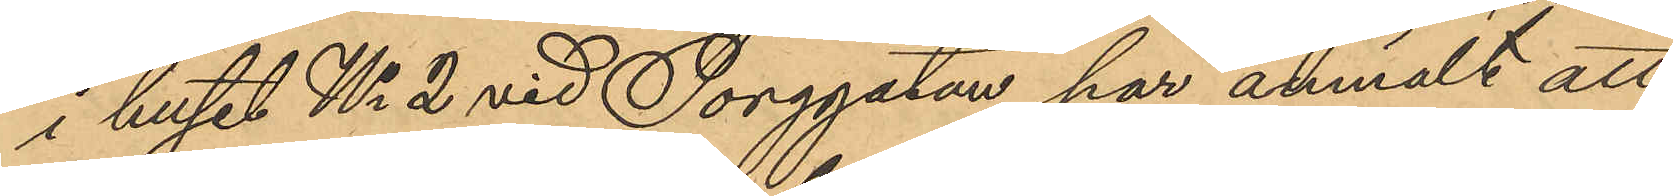i huset No 2 vid Torggatan har anmält att
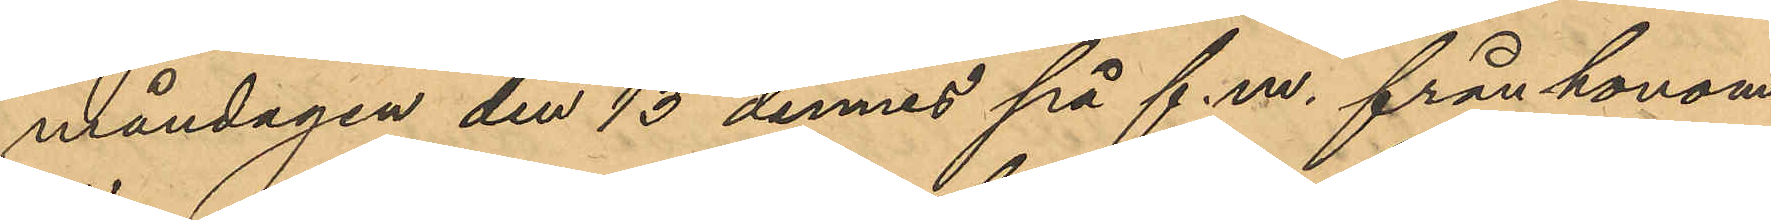måndagen den 15 dennes på f.m. från honom
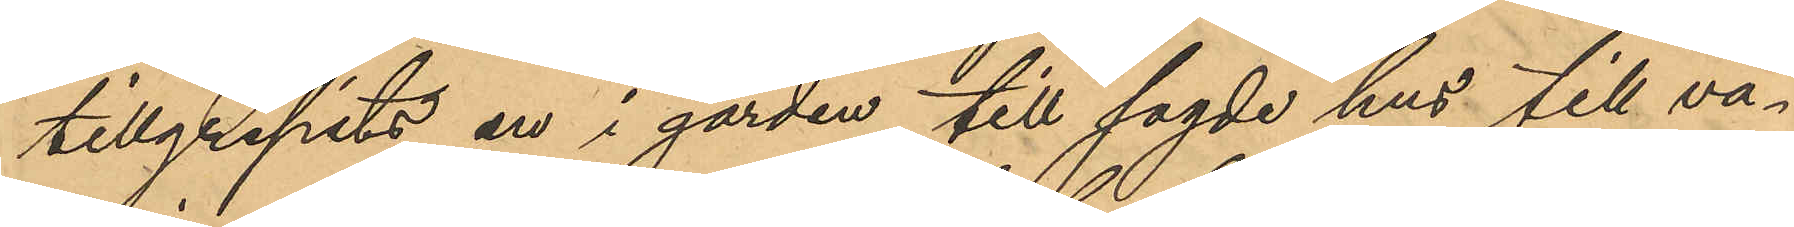tillgripits en i gården till sagde hus till vä¬
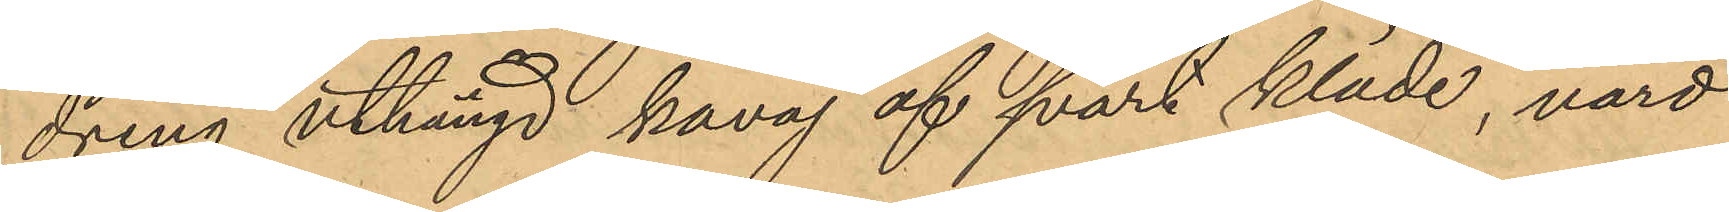dring uthängd kavaj af svart kläde, värd
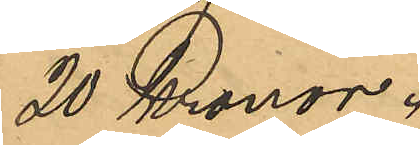20 Kronor.
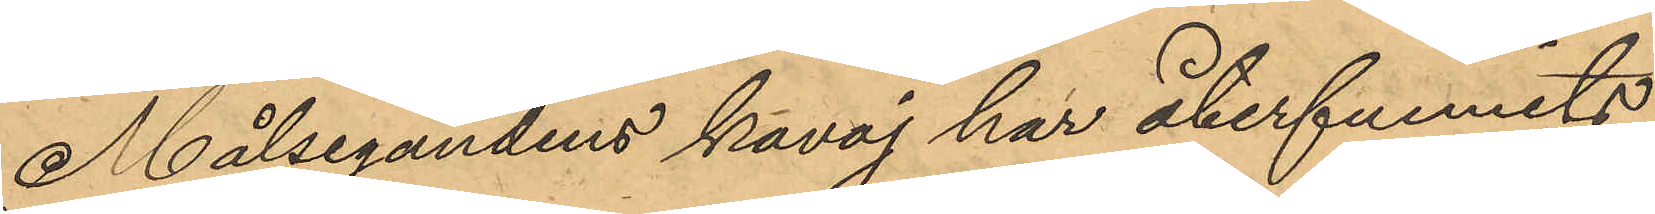Målsegandens kavaj har återfunnits
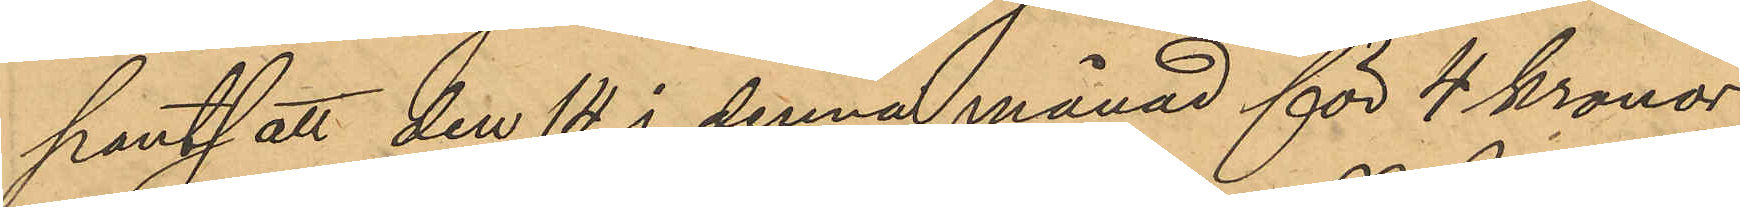pantsatt den 14 i denna månad för 4 kronor
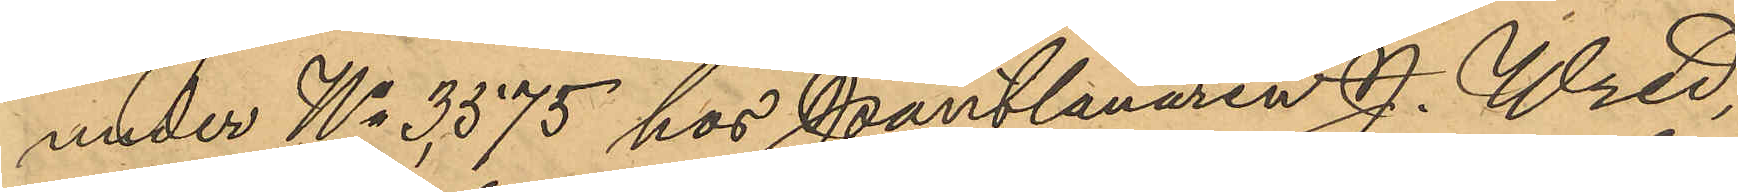under No 3575 hos Pantlånaren J. Wred,
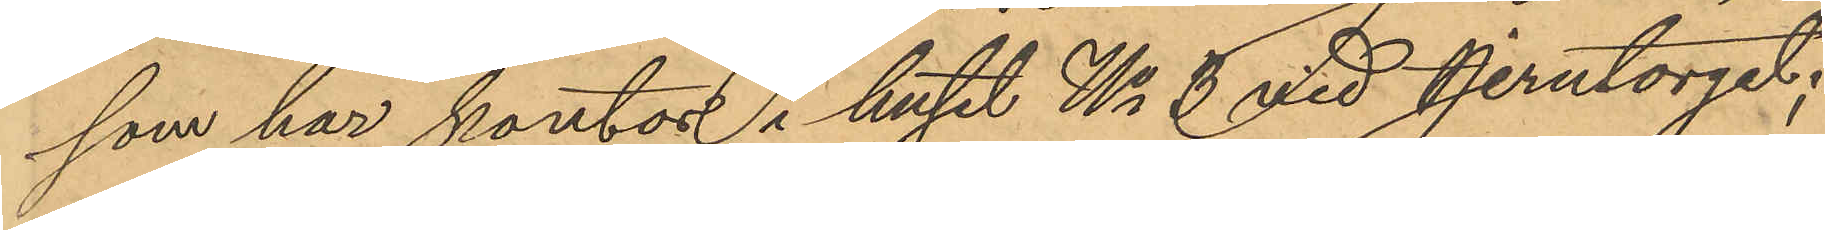som har kontor i huset No 8 vid Jerntorget;
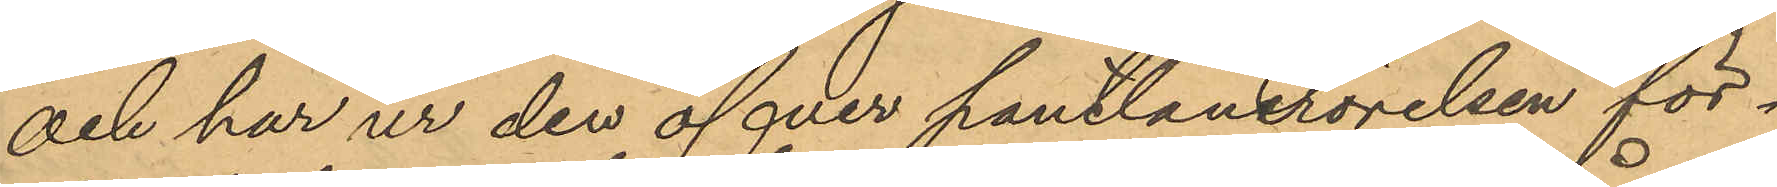och har ur den öfver pantlånerörelsen för¬
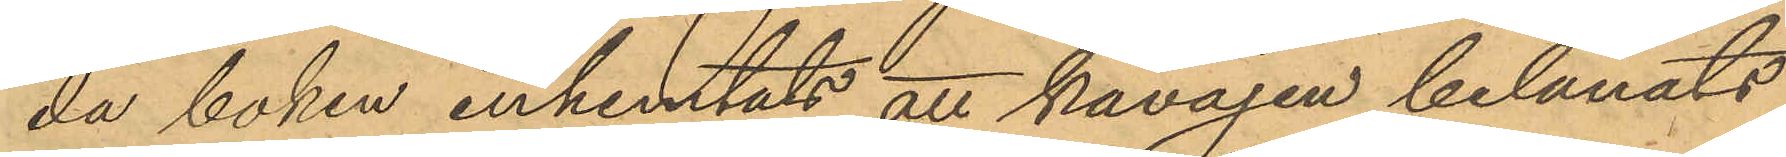da boken inhemtats att kavajen belånats
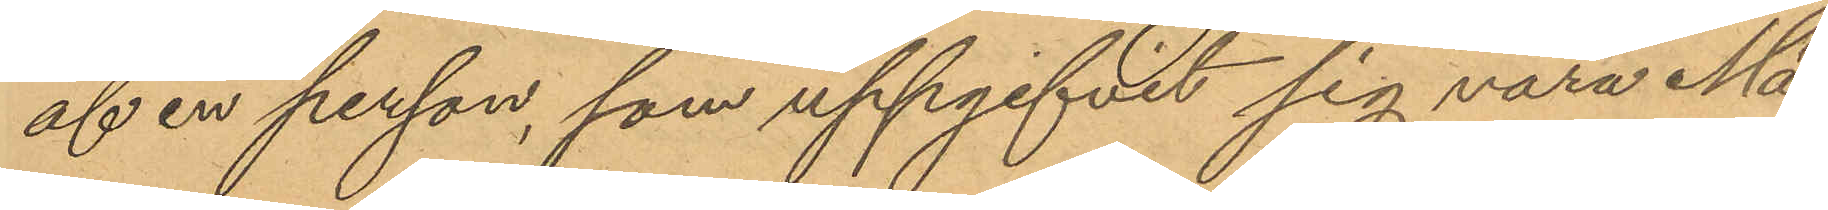af en person, som uppgifvit sig vara Må
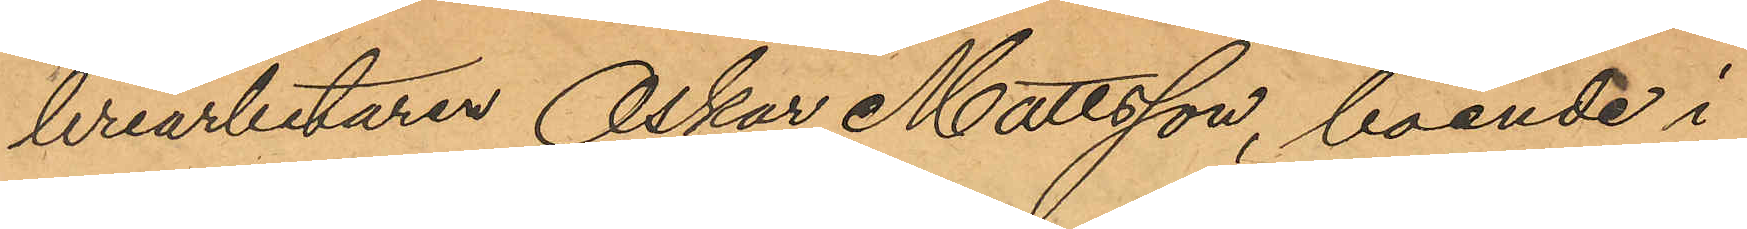leriarbetaren Oskar Mattson, boende i
